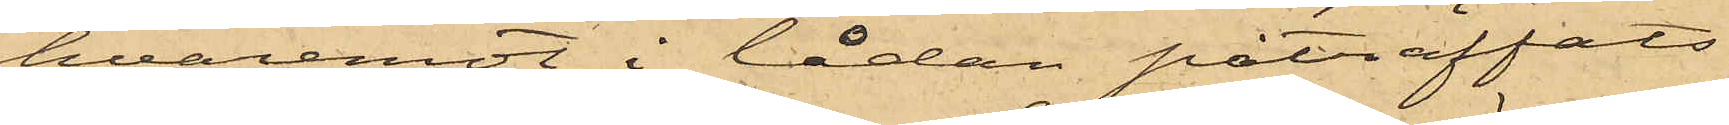hvaremot i lådan påträffats
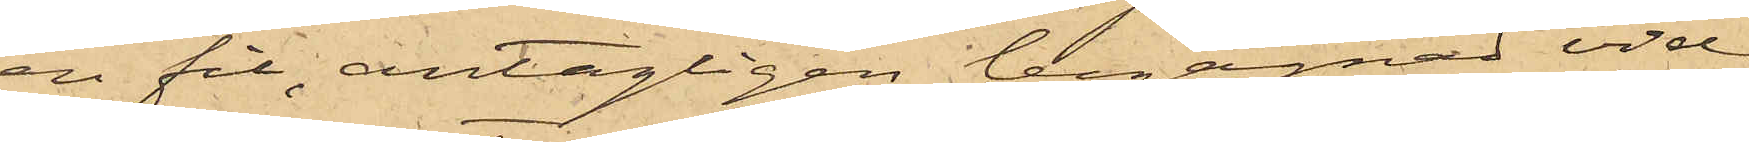en fil, antagligen begagnad vid
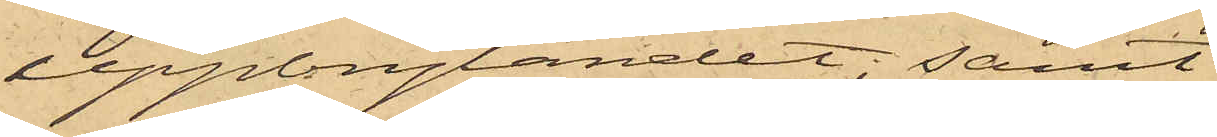uppbrytandet, samt
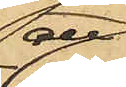att
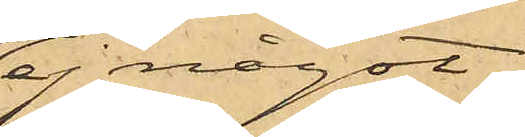ej något
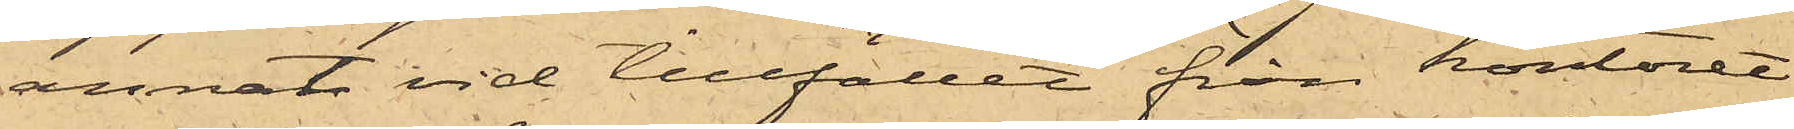annat vid tillfället från kontoret
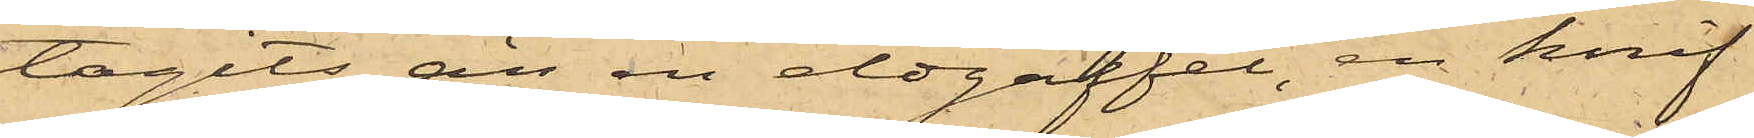tagits än en eldgaffel, en knif
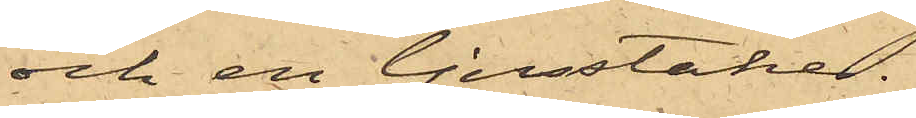och en ljusstake.
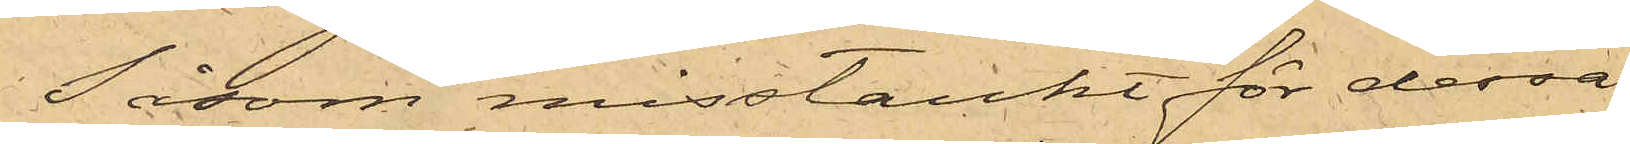Såsom misstänkt för dessa
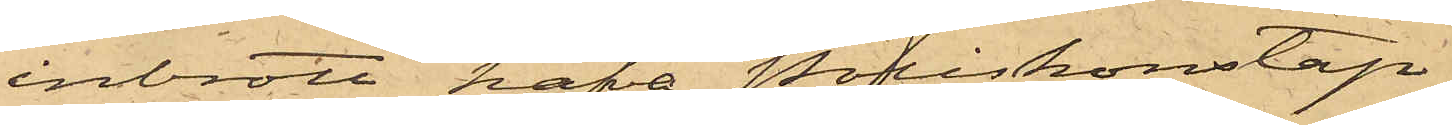inbrott hafva Poliskonstap¬
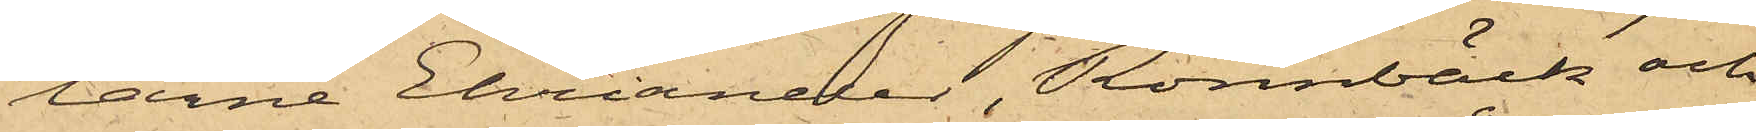larne Ehriander, Rönnbäck och
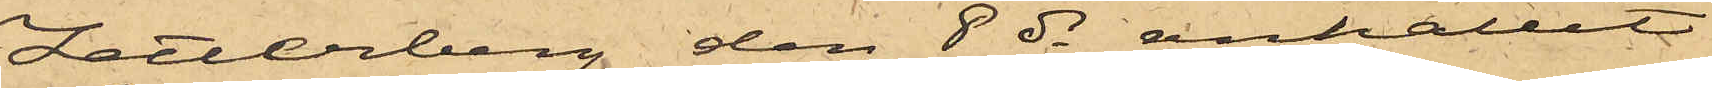Zetterberg den 8 ds anhållit
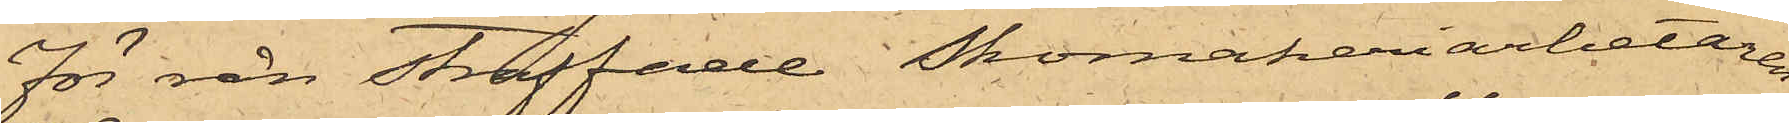för rån straffade Skomakeriarbetaren
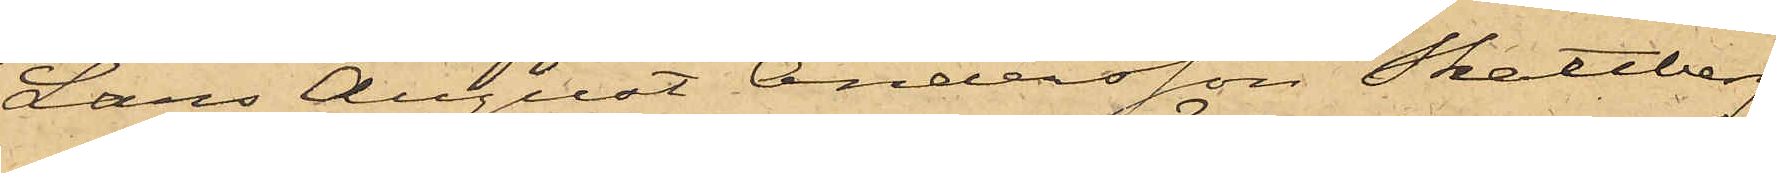Lars August Andersson Skattberg
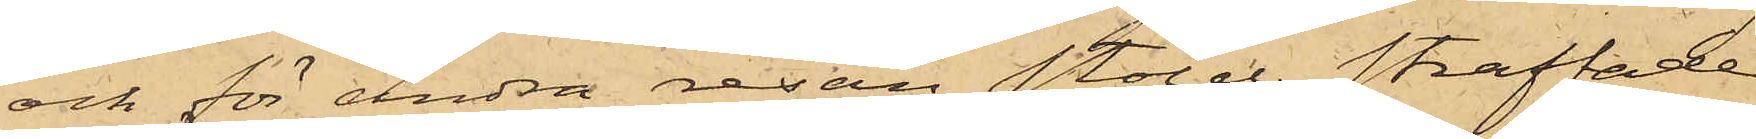och för andra resan stöld straffade
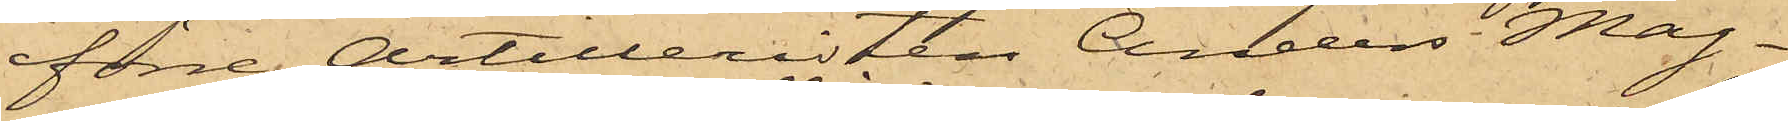förre Artilleristen Anders Mag¬
